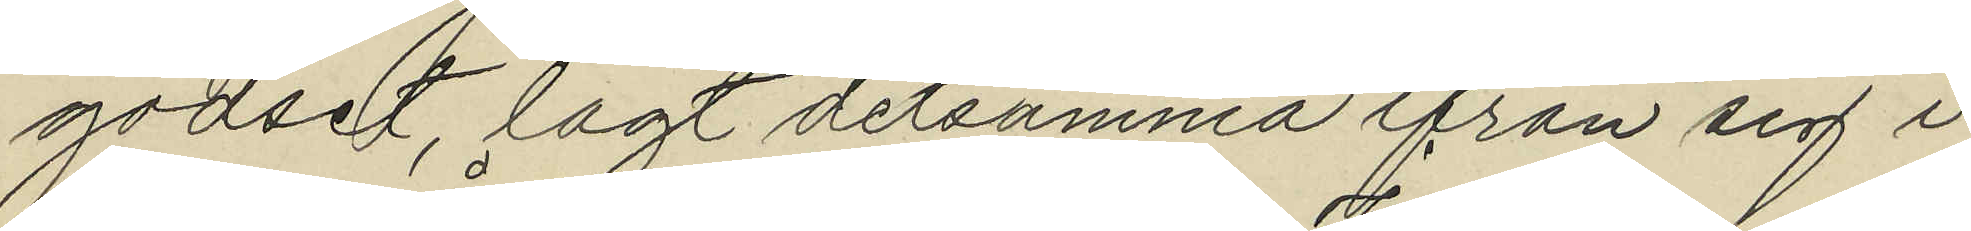godset, lagt detsamma ifrån sig i
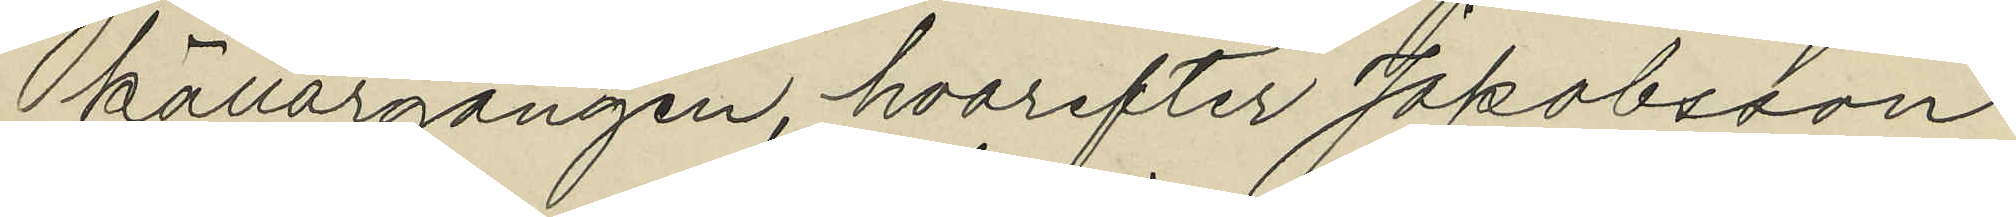källargången, hvarefter Jakobsson
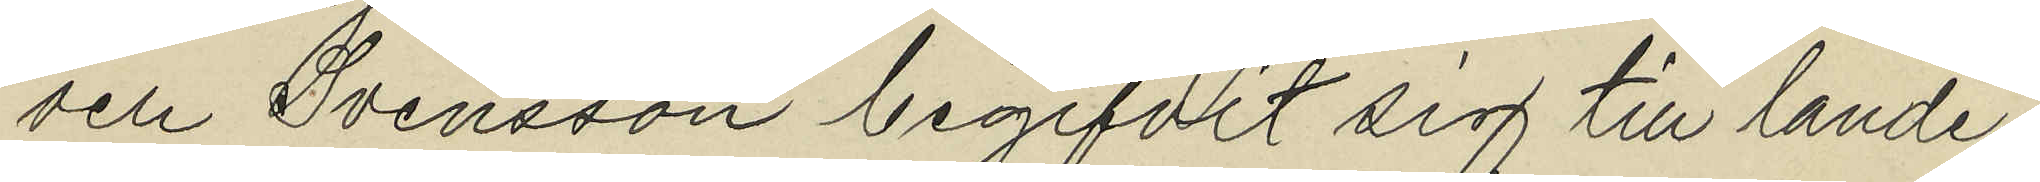och Svensson begifvit sig till lande¬
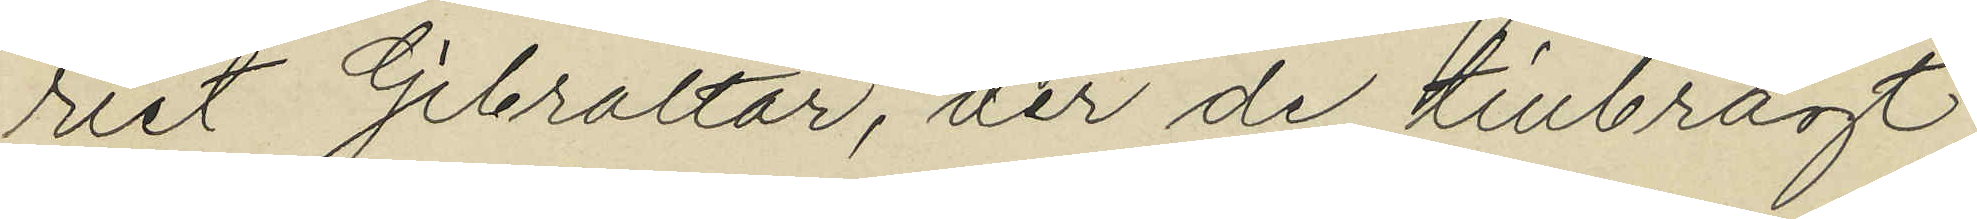riet Gibraltar, der de tillbragt
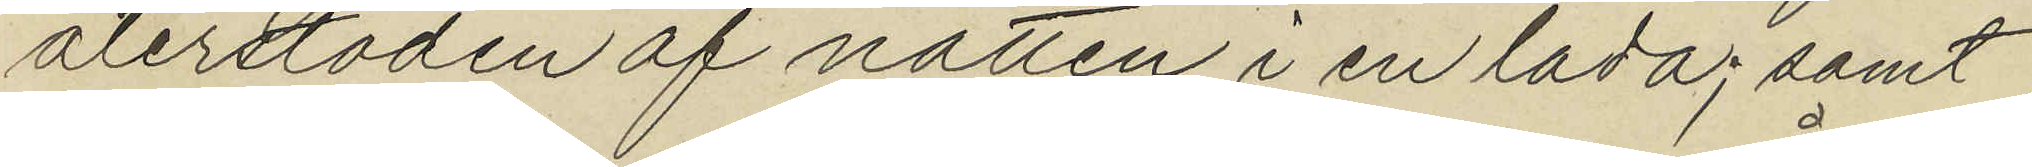återstoden af natten i en lada; samt
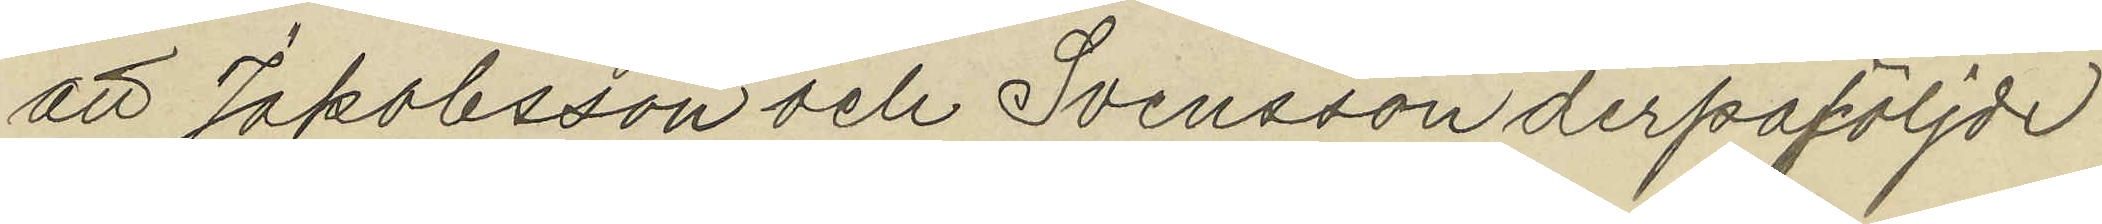att Jakobsson och Svensson derpåföljde
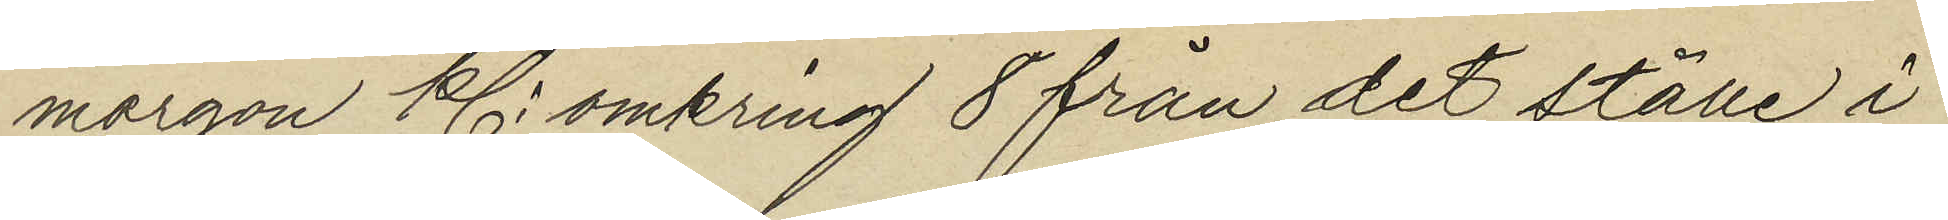morgon Kl. omkring 8 från det ställe i
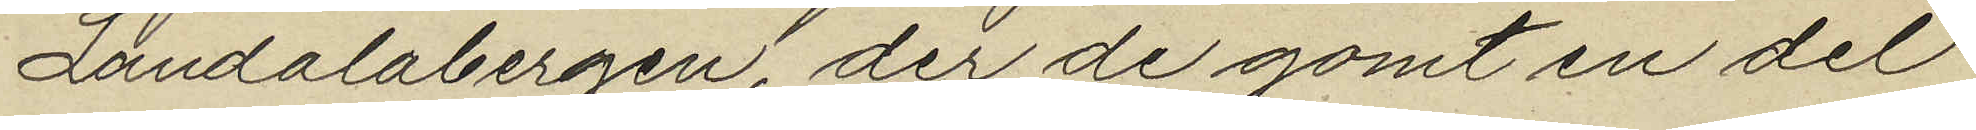Landalabergen, der de gömt en del
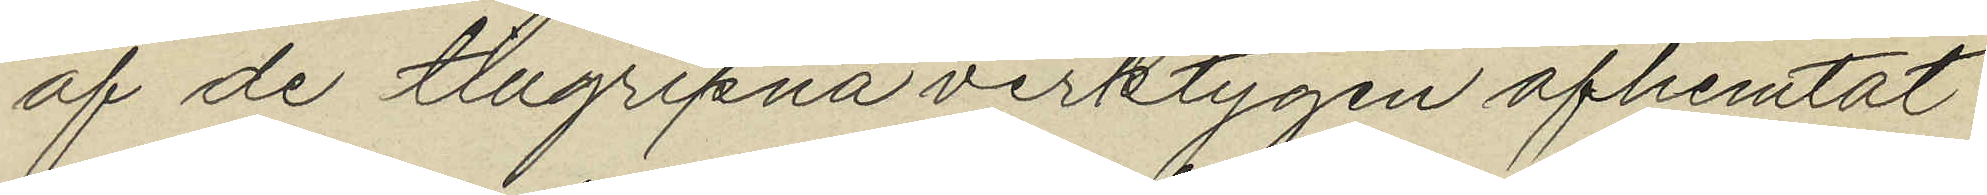af de tilgripna verktygen afhemtat
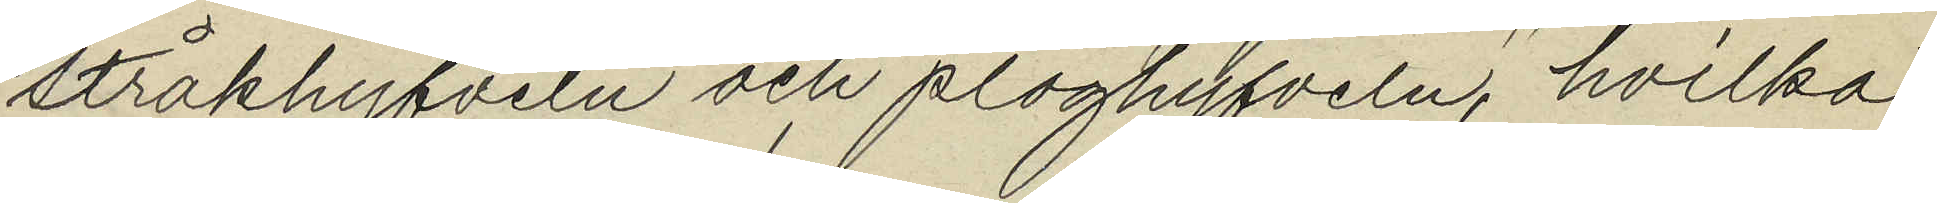stråkhyfveln och ploghyfveln, hvilka
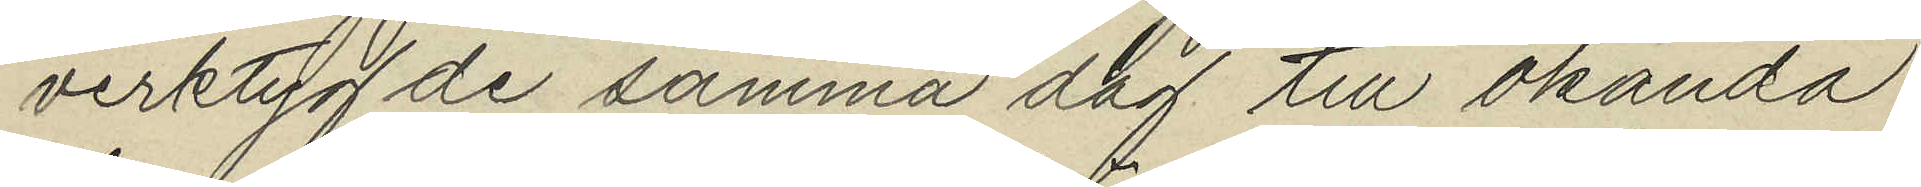verktyg de samma dag till okända
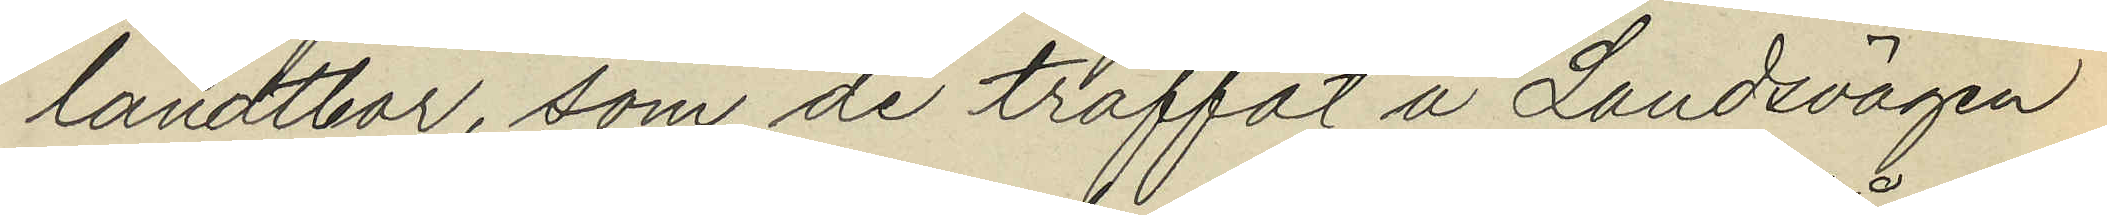landtbor som de träffat å Landsvägen
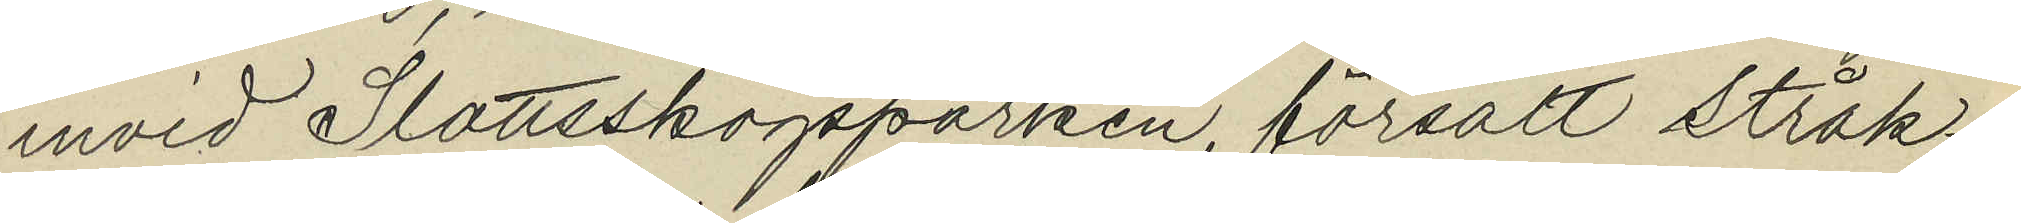invid Slottsskogsparken försålt stråk¬
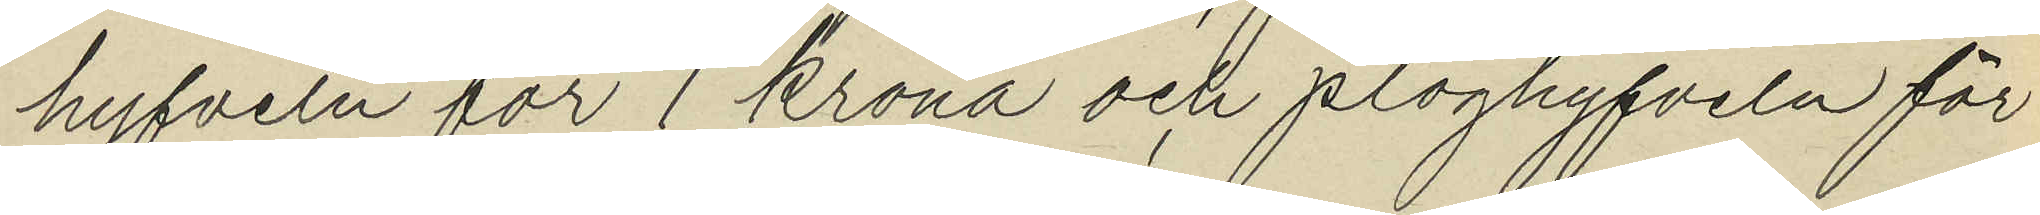hyfveln för 1 krona och ploghyfveln för
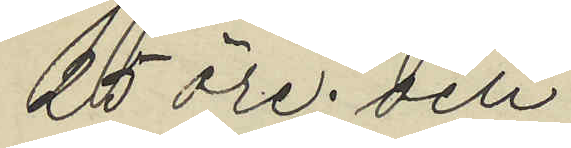25 öre; och
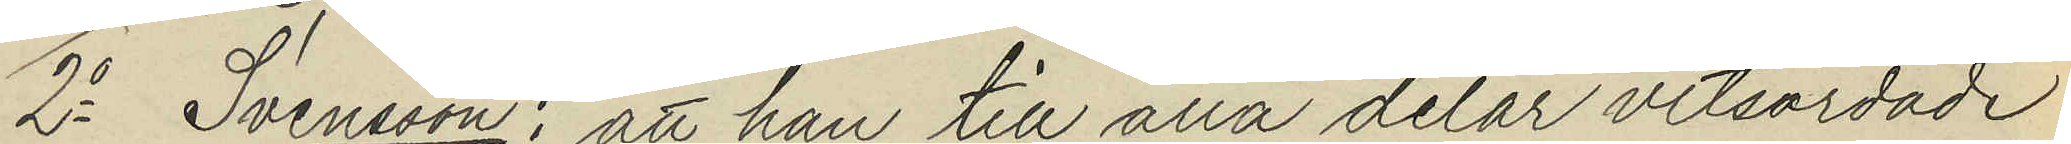2o Svensson: att han till alla delar vitsordade
